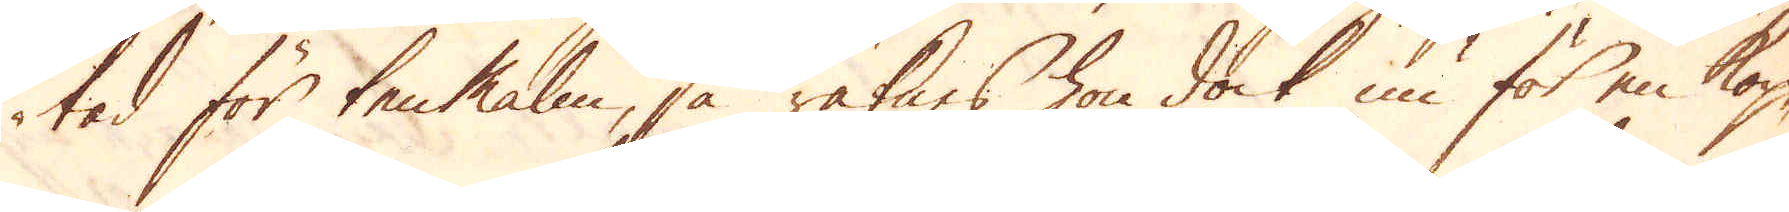tad för ten Malm, så räknas hon dock nu för en kop-
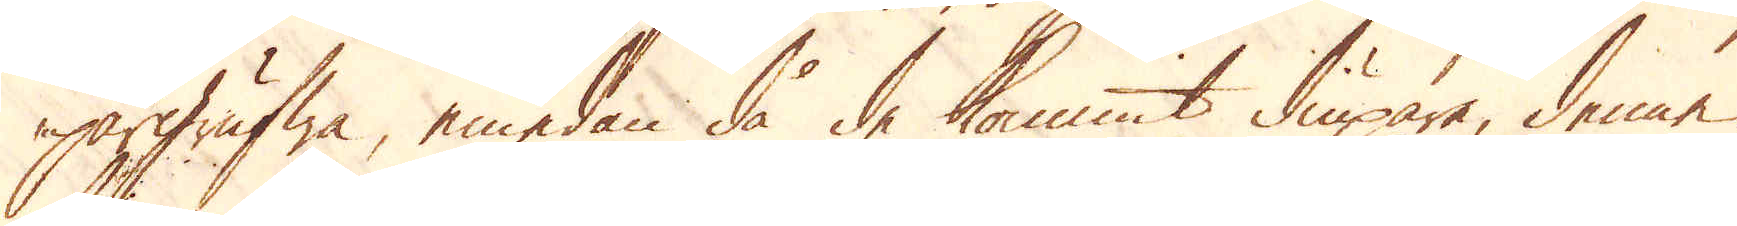pargrufwa, emedan då de kommit diupare, denne
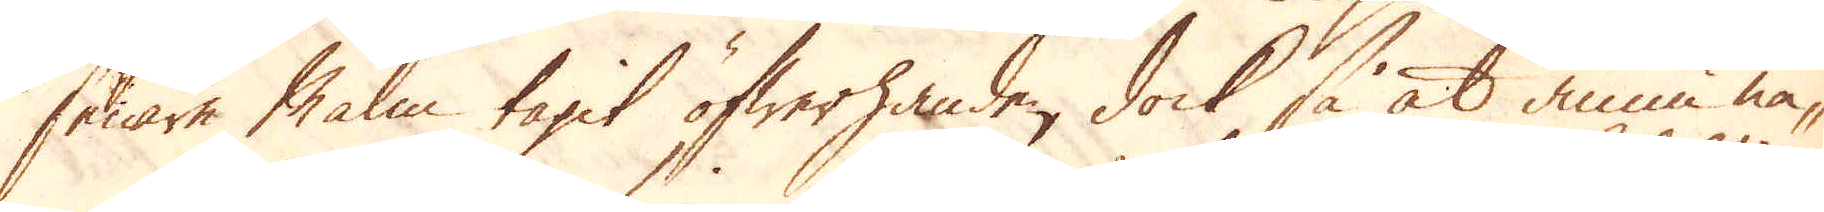senare Malm tagit öfwerhanden, dock så at ännu nå-
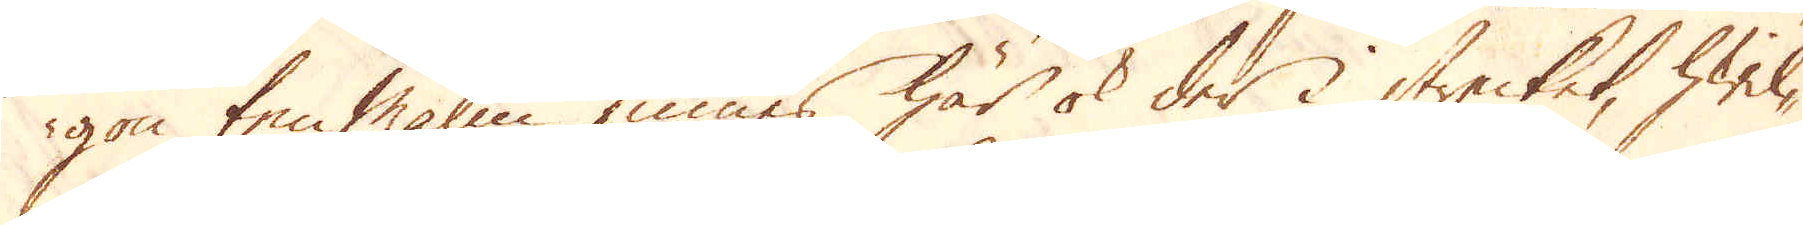gon ten Malm finnes här ok der i strecket, hwil-
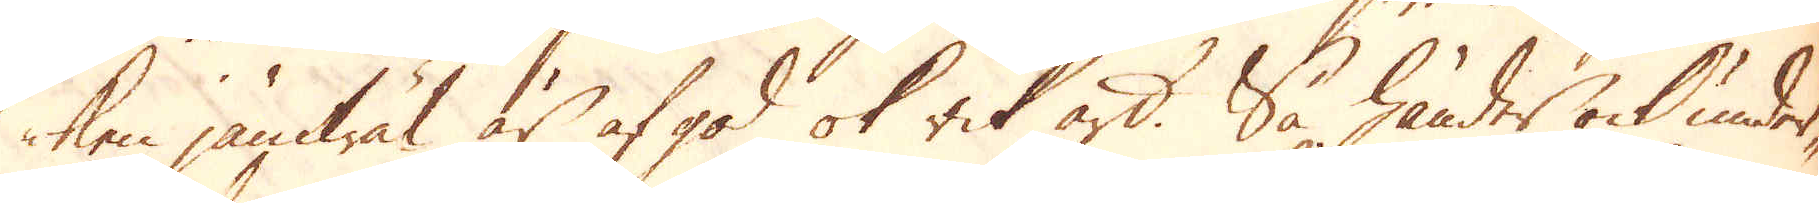ken jämwäl är af god ok rik art. Så händer ock under-
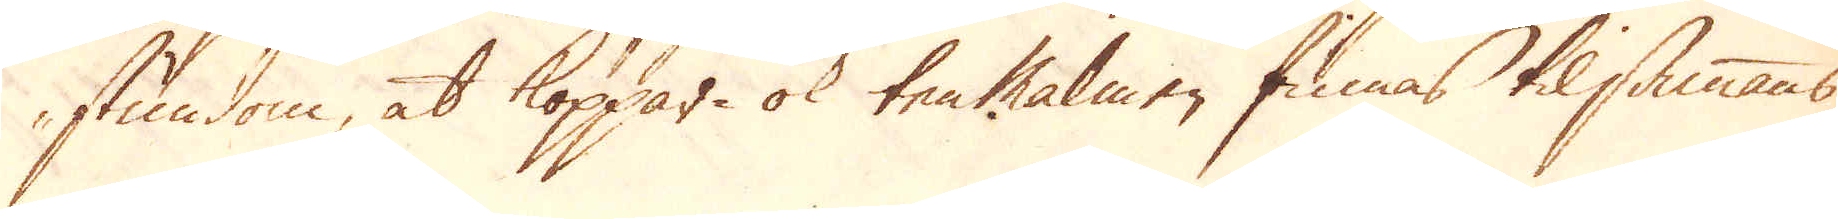stundom, at koppar- ok ten malmen finnas tilsammans
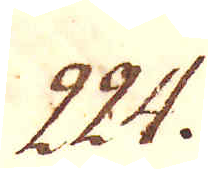224.
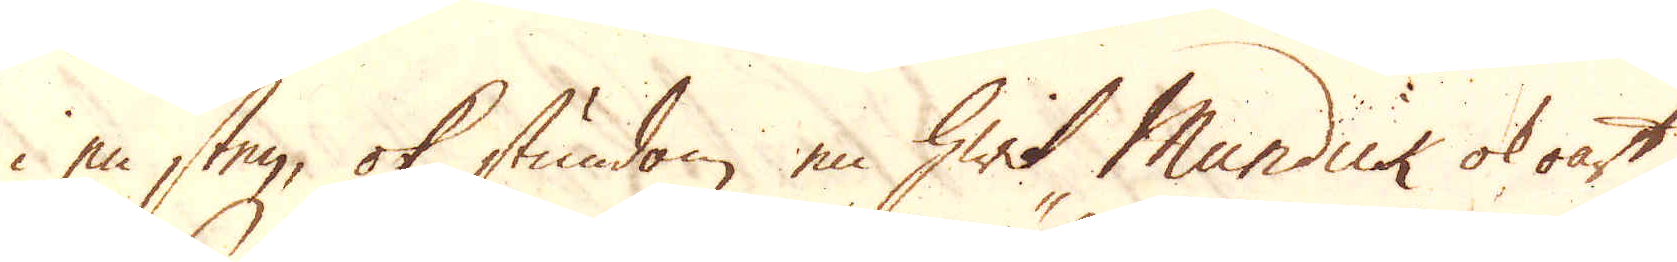i en sten, ok stundom en hwit Mundick ok oart
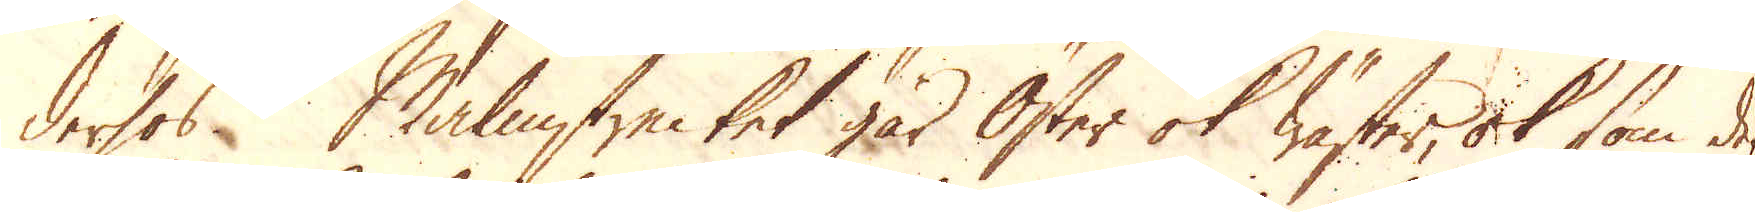derhos Malmstrecket går Öster ok Wäster, ok som de
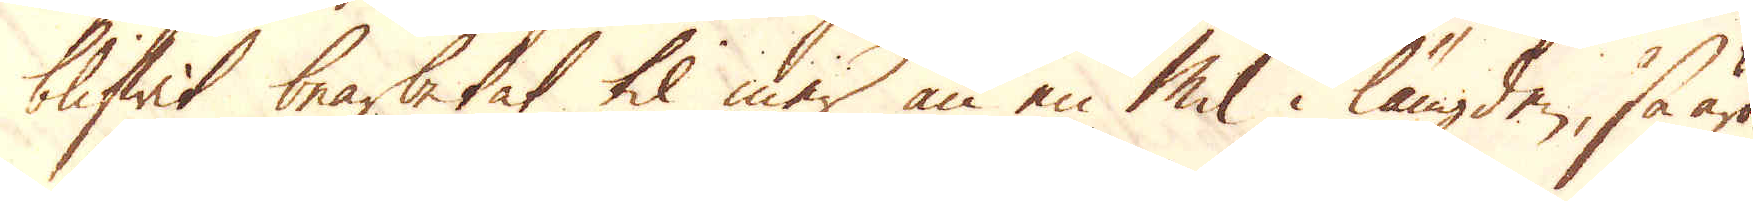blifwit bearbetat til mer än en Mil i längden, så äro
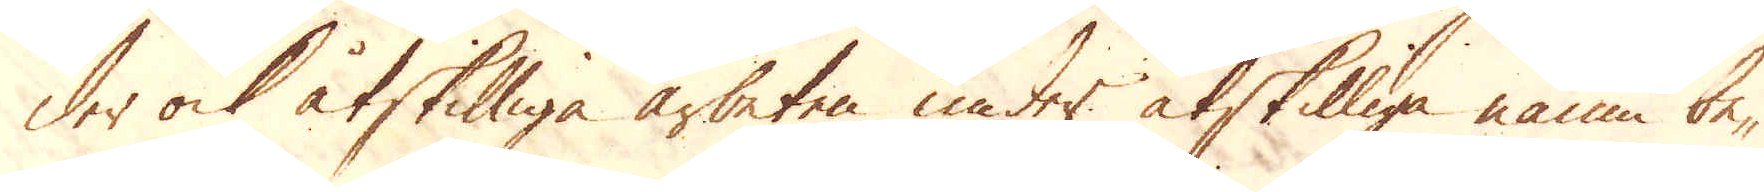der ock åtskilliga arbeten under åtskilliga namn be-
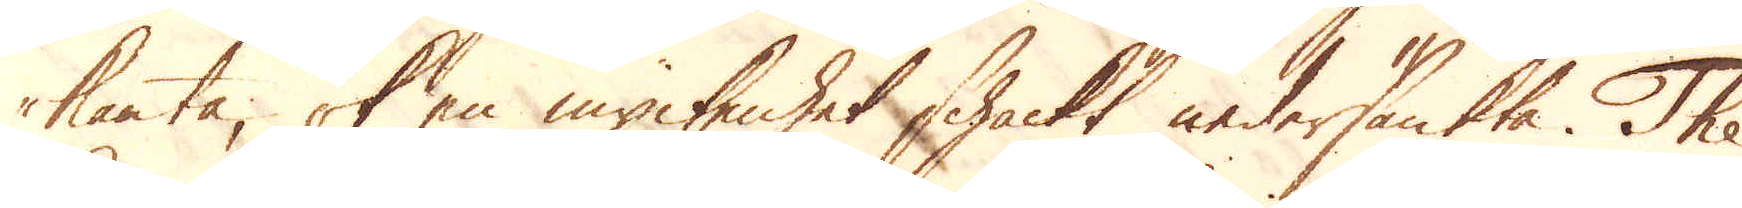kanta, ok en myckenhet schackt nedersänkta. The
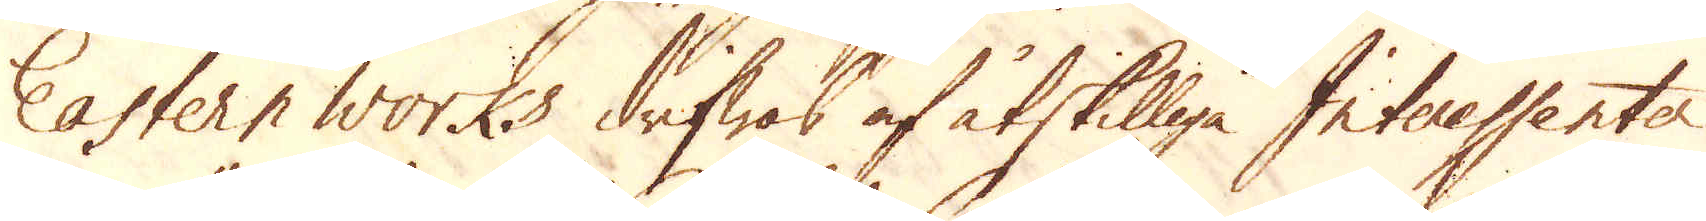Eastern works drifwes af åtskilliga Interessenter
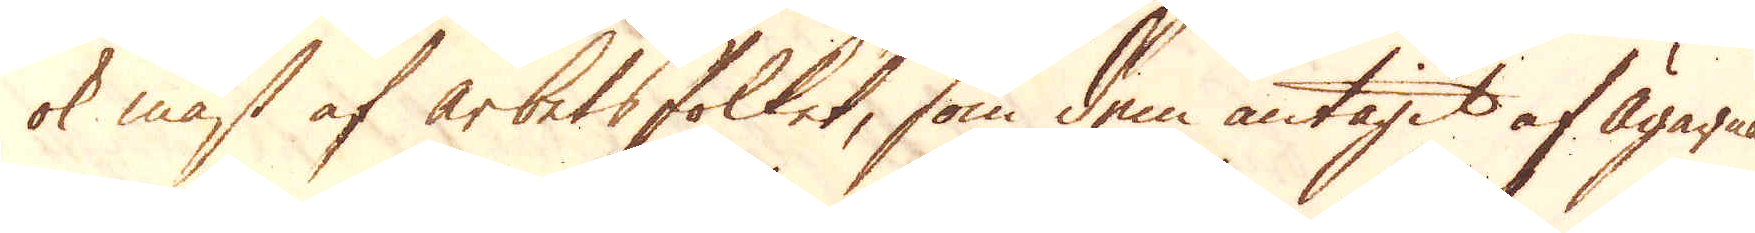ok mäst af arbetsfolket, som dem antagit af Ägarna
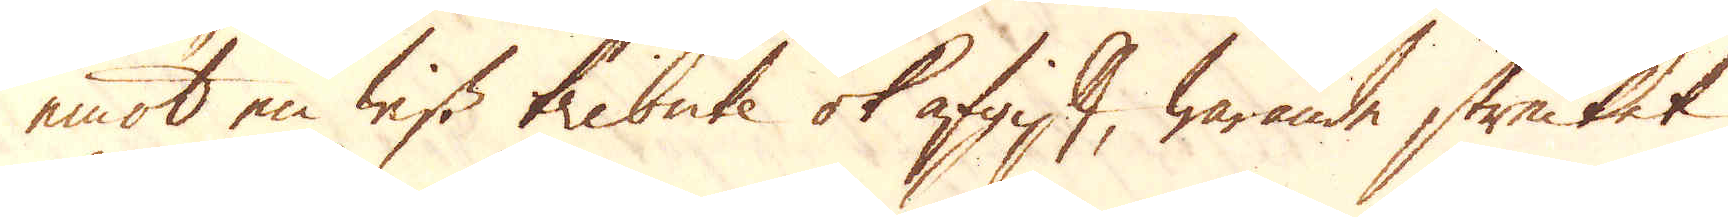emot en wiss tribute ok afgift, warande strecket
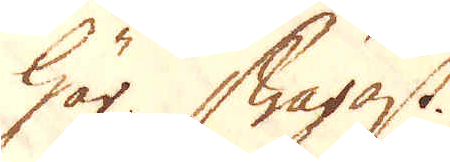här swagast.
